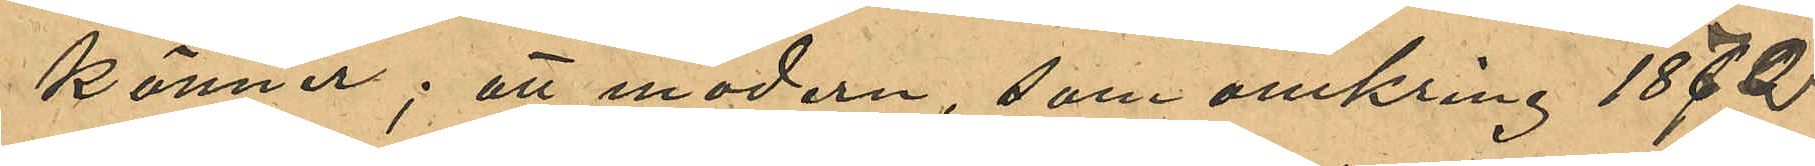känner; att modern som omkring 1872
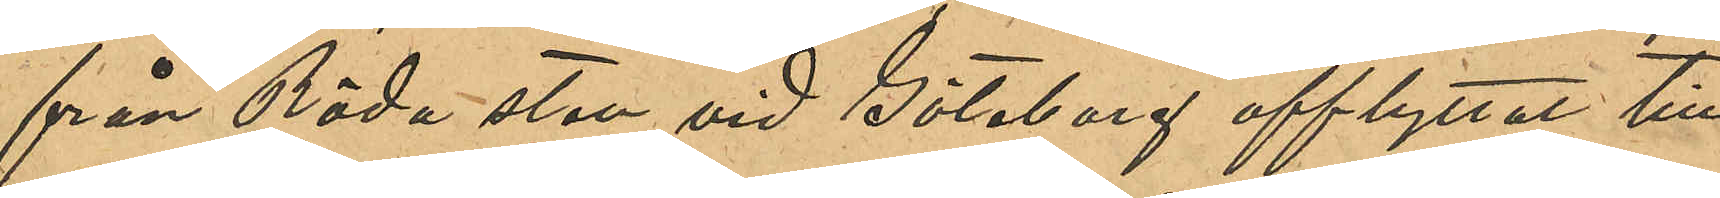från Röda sten vid Göteborg afflyttat till
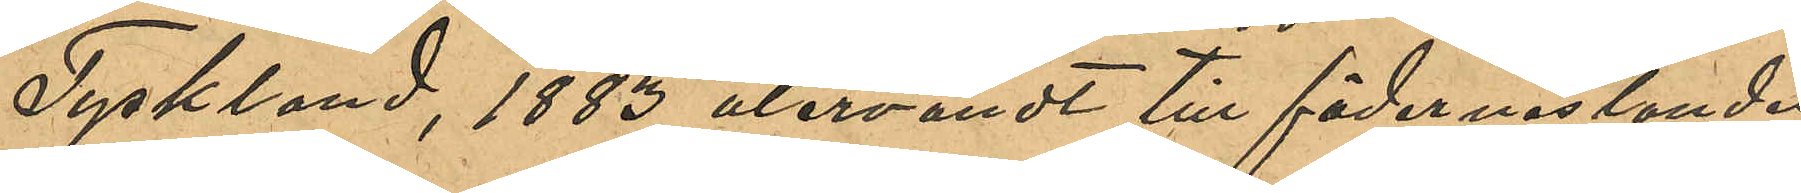Tyskland, 1883 återvändt till fädernelandet
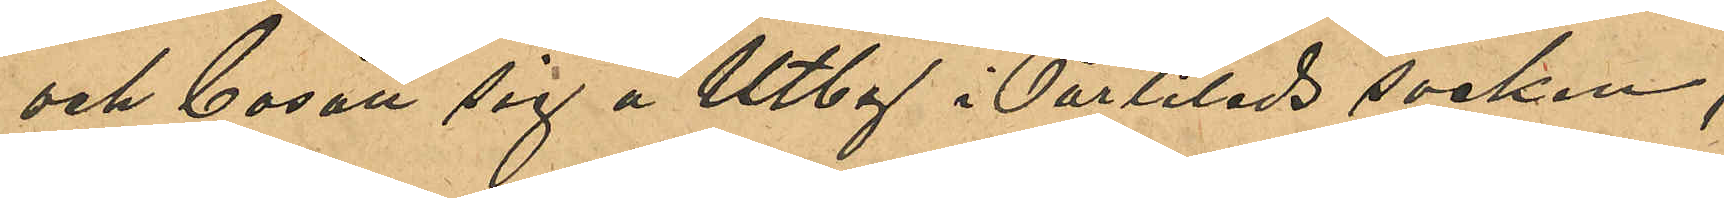och bosatt sig å Utby i Partilleds socken,
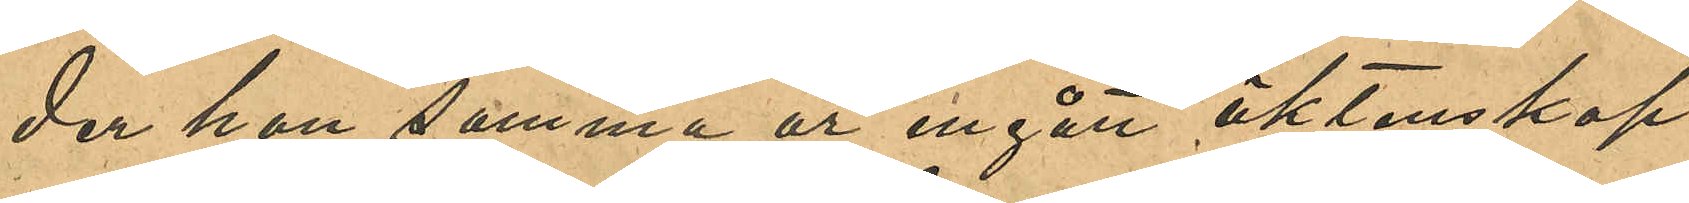der hon samma år ingått äktenskap
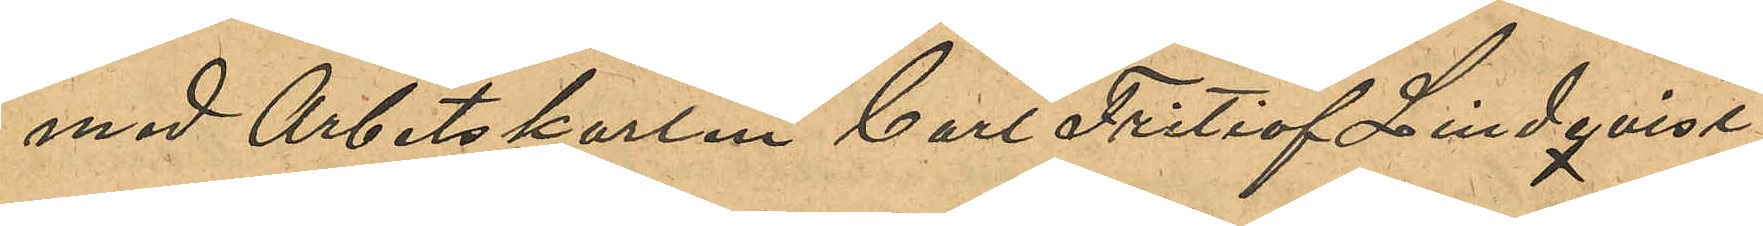med Arbetskarlen Carl Fritiof Lindqvist;
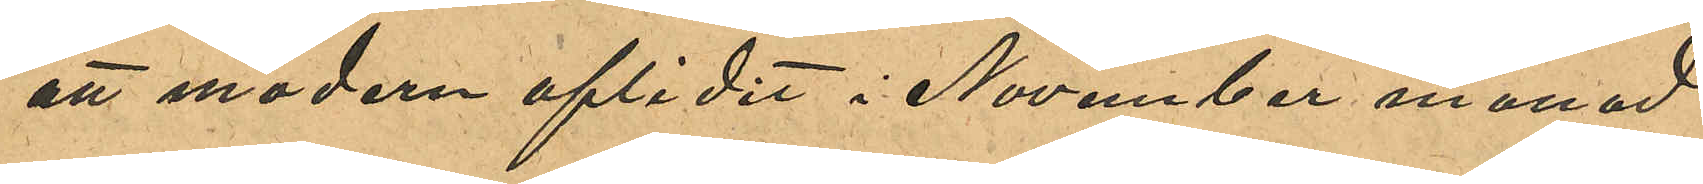att modern aflidit i November månad
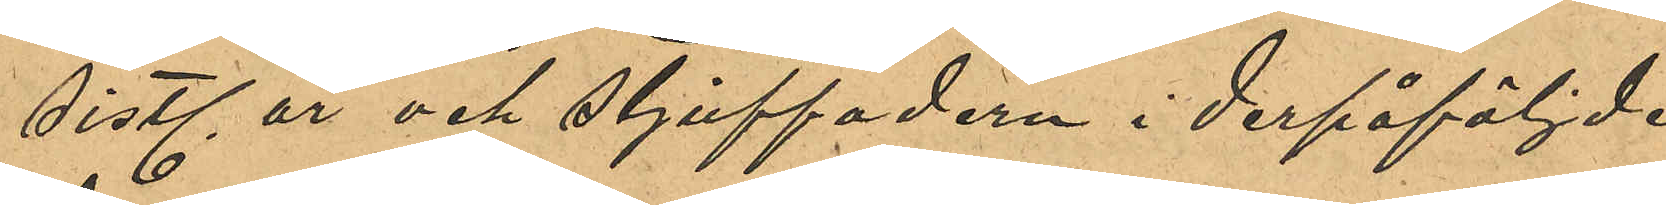sistl år och stjuffadern i derpåföljde
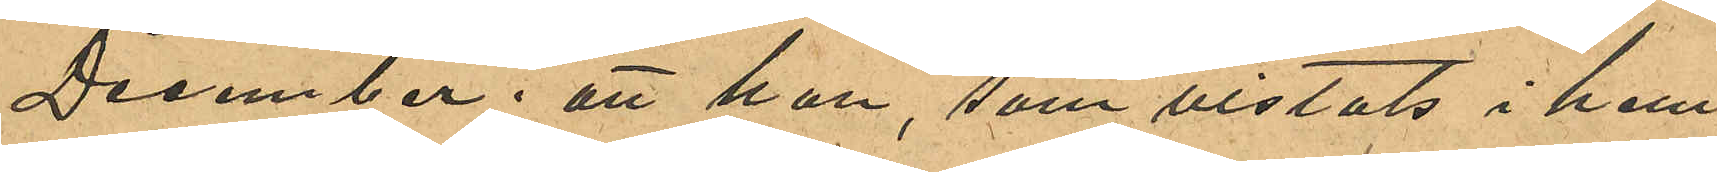December; att han, som vistats i hem¬
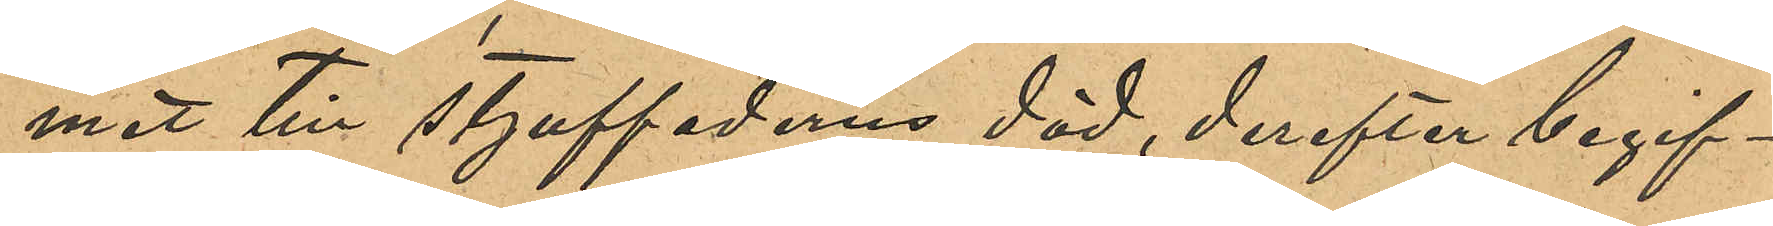met till stjuffaderns död, derefter begif¬
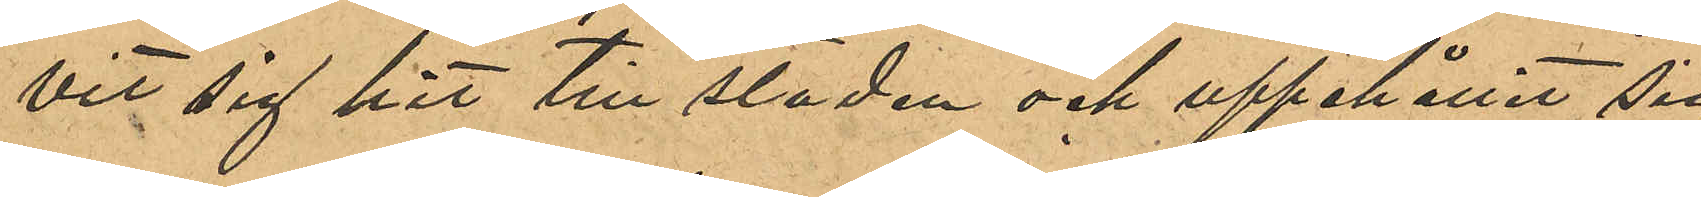vit sig hit till staden och uppehållit sig
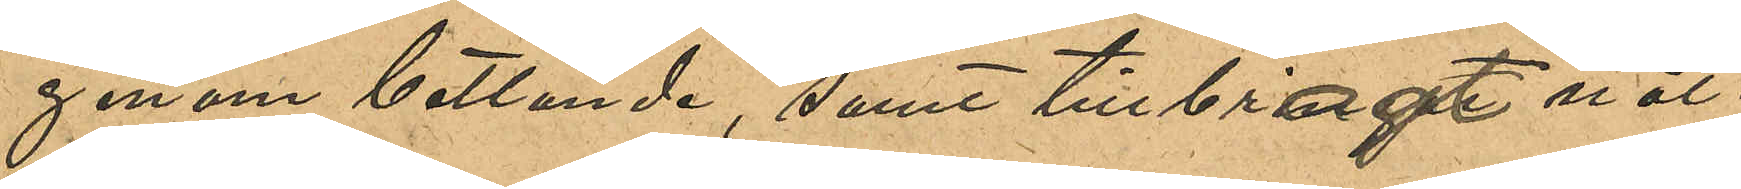genom betlande, samt tillbragt nät¬
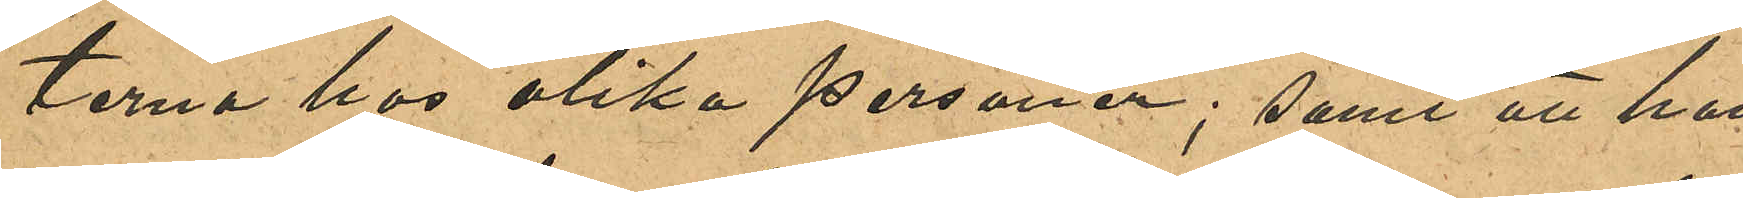terna hos olika personer; samt att han
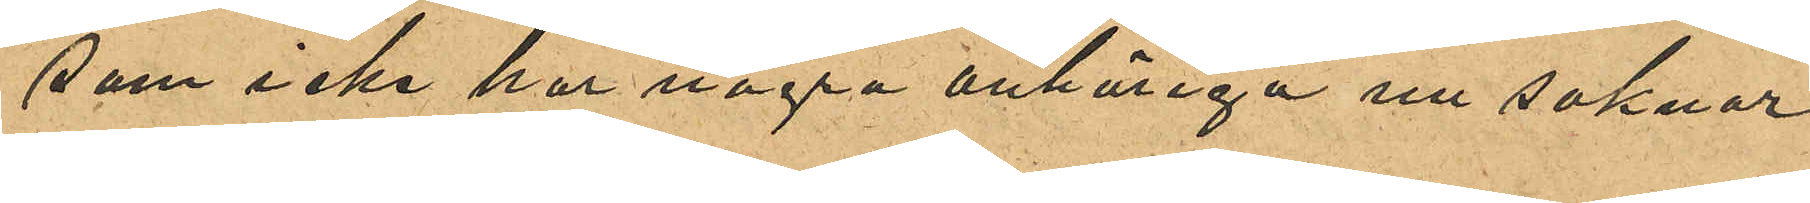som icke har några anhöriga nu saknar
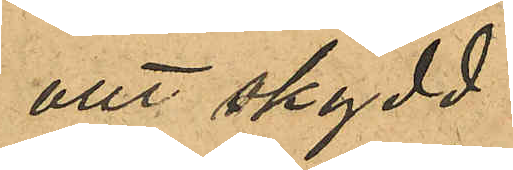allt skydd.
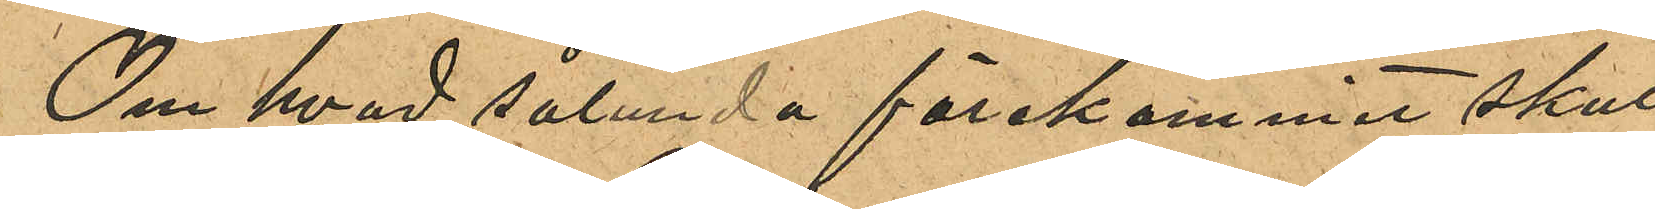Om hvad sålunda förekommit skul¬
